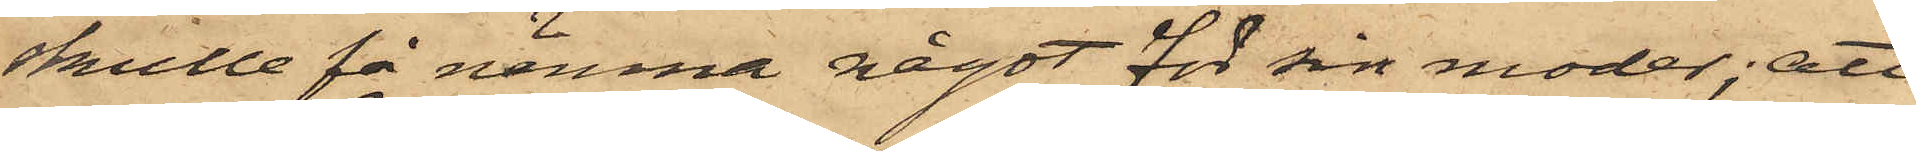skulle få nämna något för sin moder; att
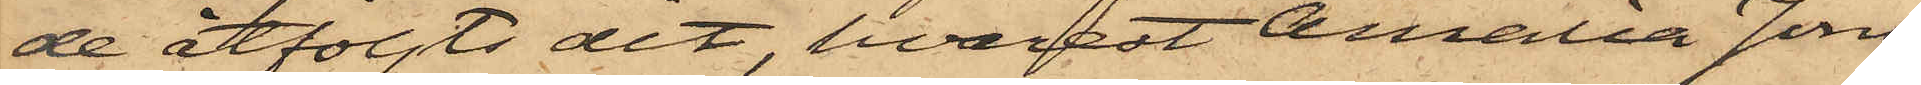de åtföljts dit, hvarest Amalia Jons¬
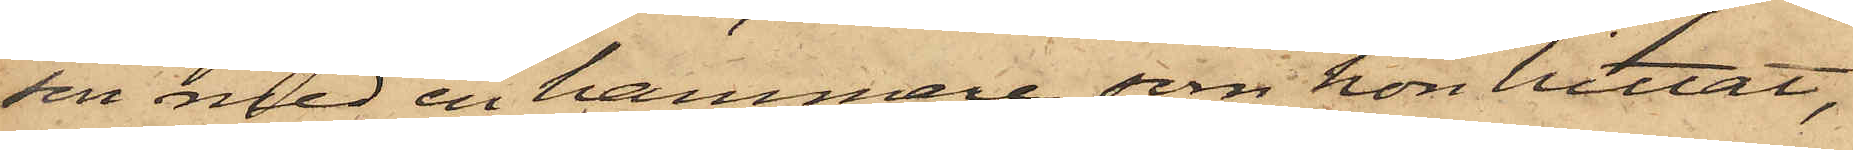son med en hammare, som hon hittat,
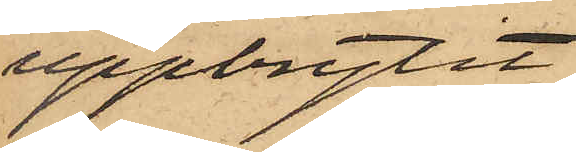uppbrytit
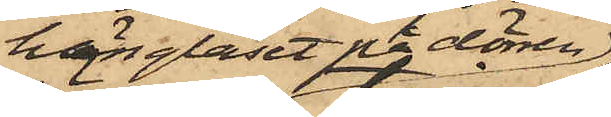hänglåset på dörren
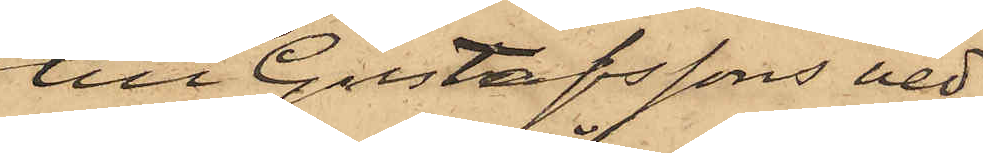till Gustafssons ved¬
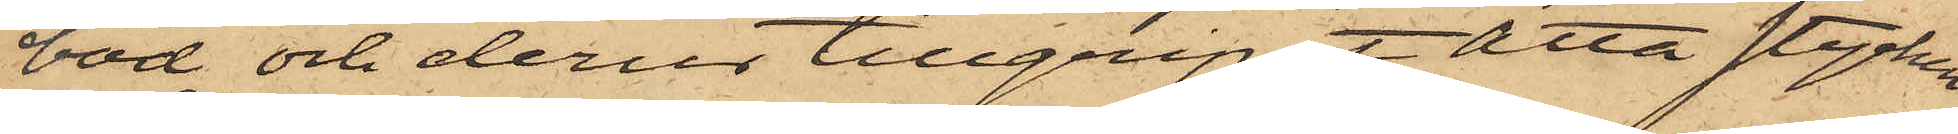bod och derur tillgripit åtta stycken
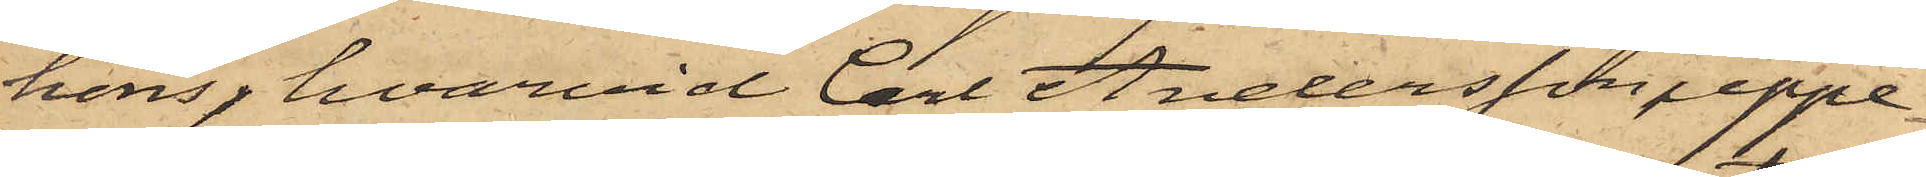höns, hvarvid Carl Andersson uppe¬
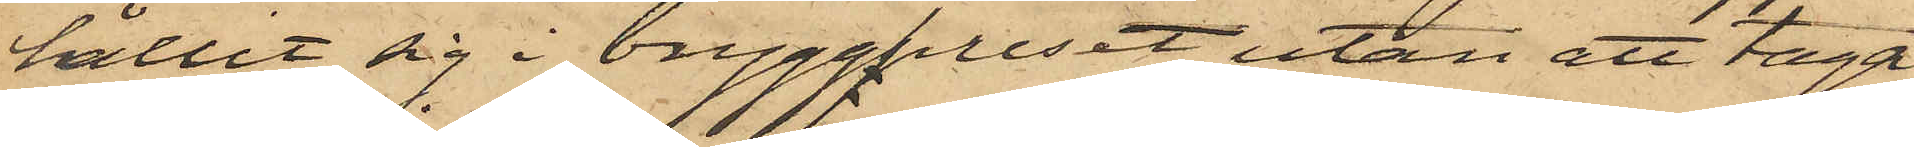hållit sig i brygghuset utan att taga
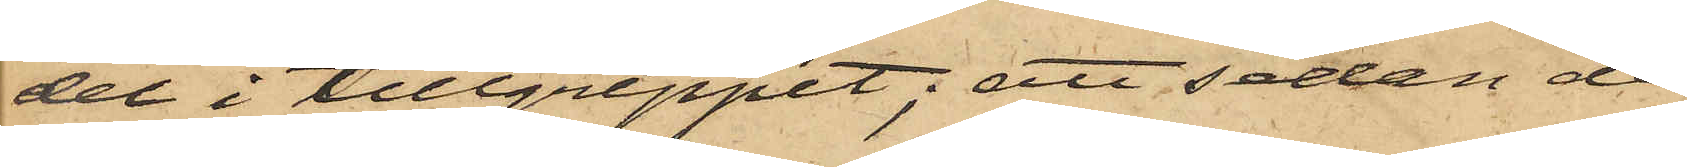del i tillgreppet; att sedan de
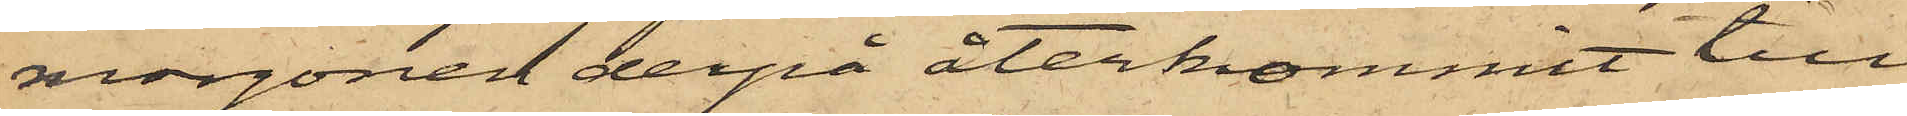morgonen derpå återkommit till
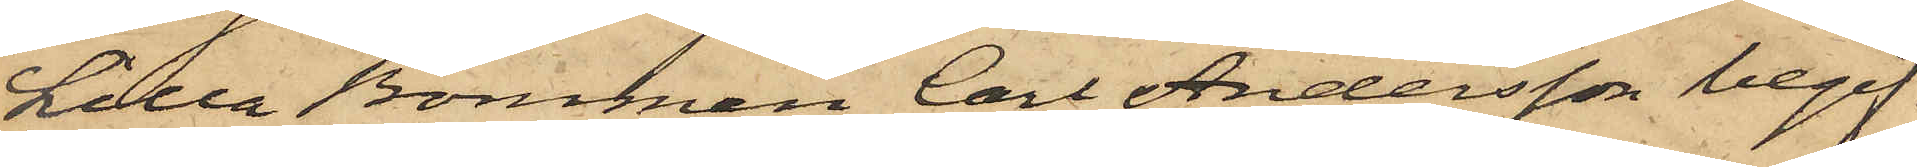Lilla Bommen Carl Andersson begif¬
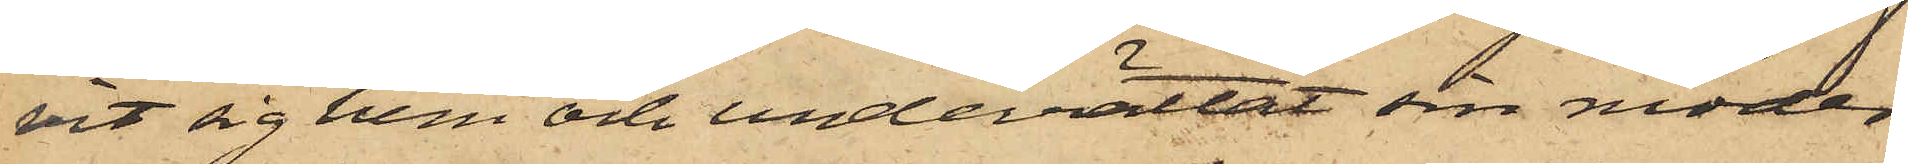vit sig hem och underrättat sin moder
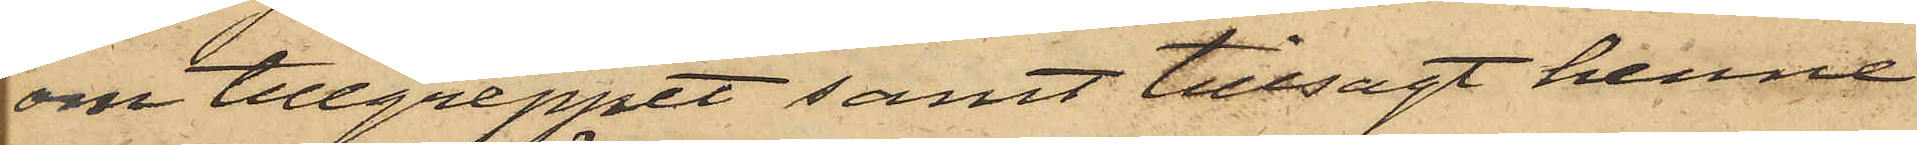om tillgreppet samt tillsagt henne
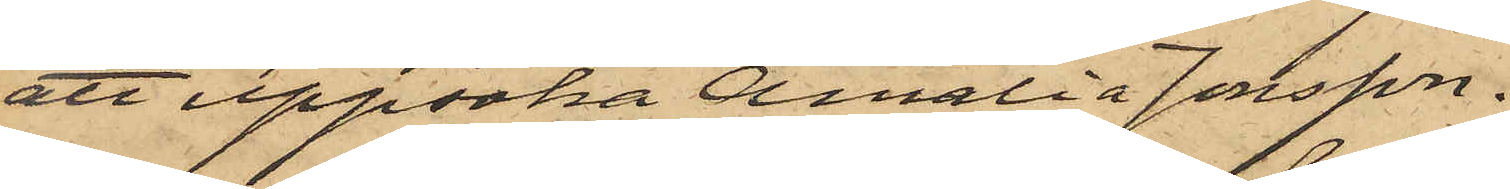att uppsöka Amalia Jonsson.
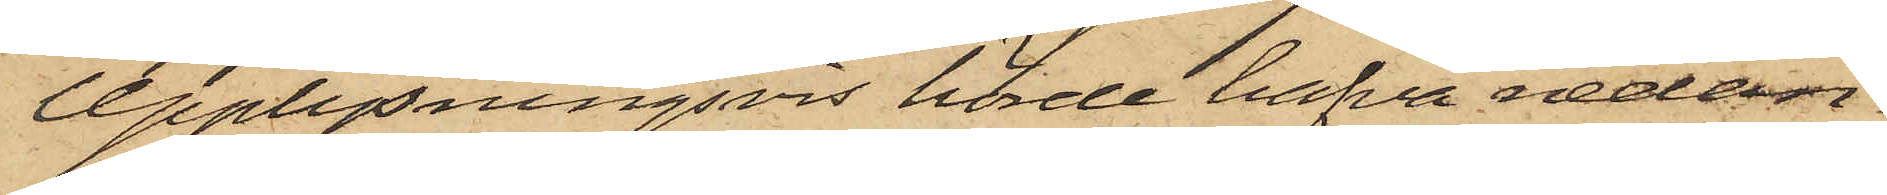Upplysningsvis hörde hafva nedan¬
